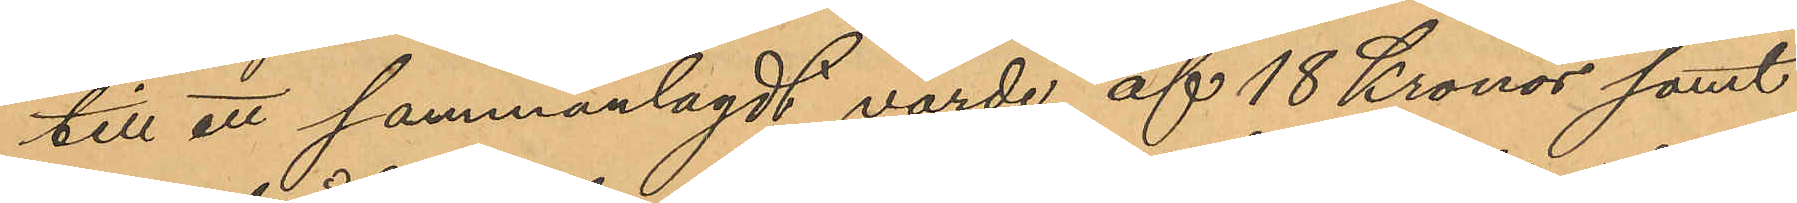till ett sammanlagdt värde af 18 Kronor samt
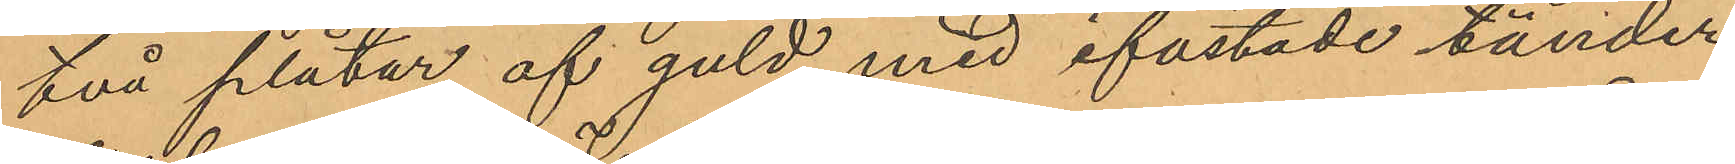två plåtar af guld med ifästade tänder
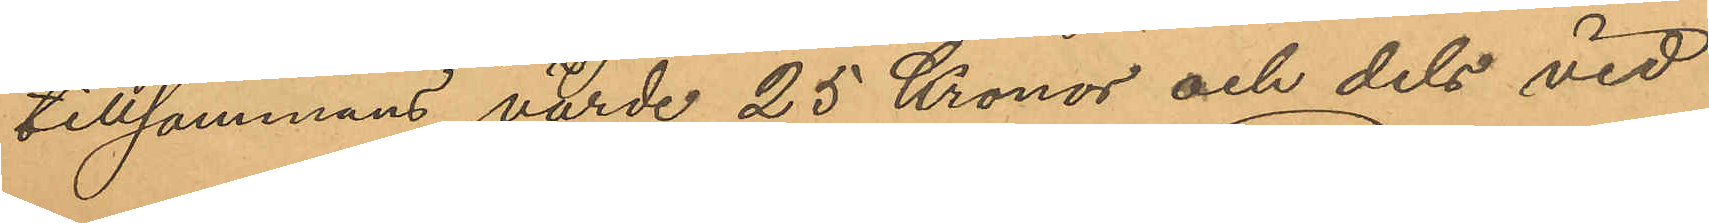tillsammans värde 25 Kronor och dels vid
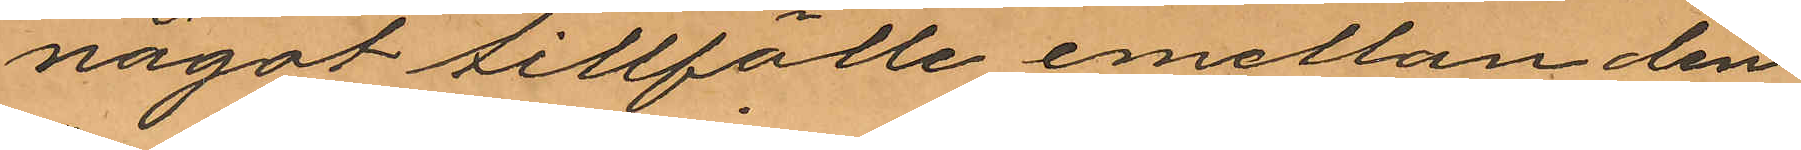något tillfälle emellan den
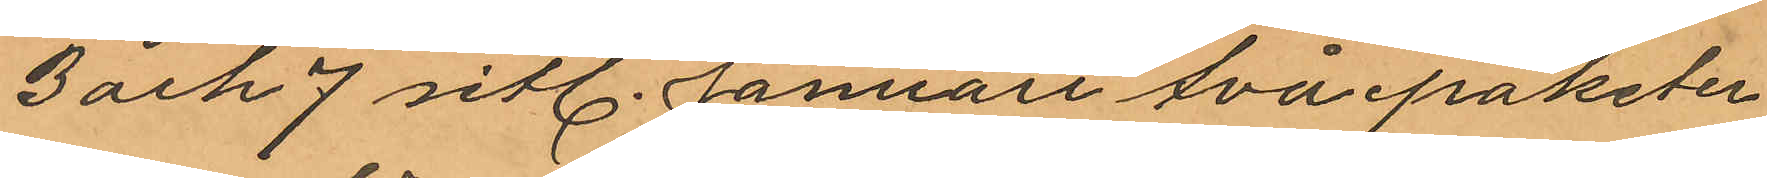3 och 7 sitl. Januari två paketer
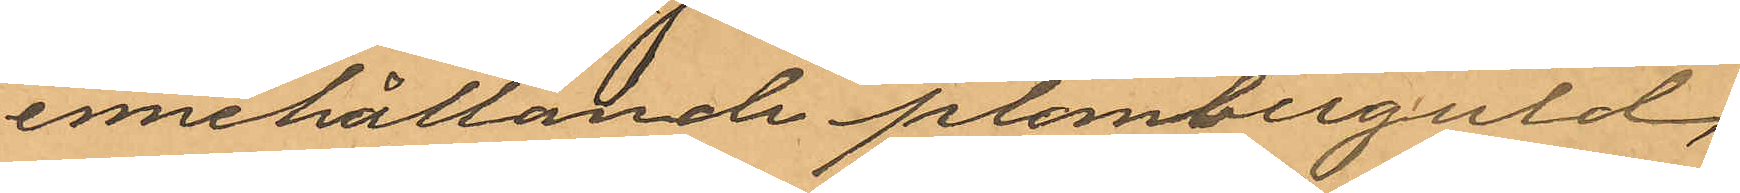innehållande plomberguld,
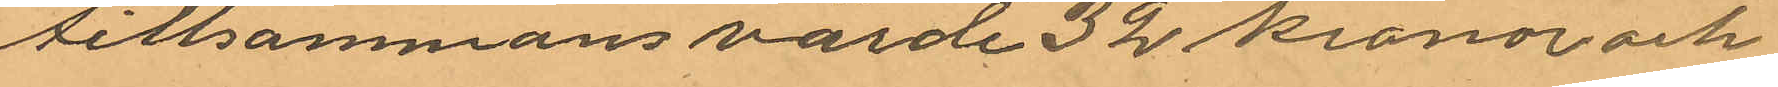tillsammans värde 32 kronor och
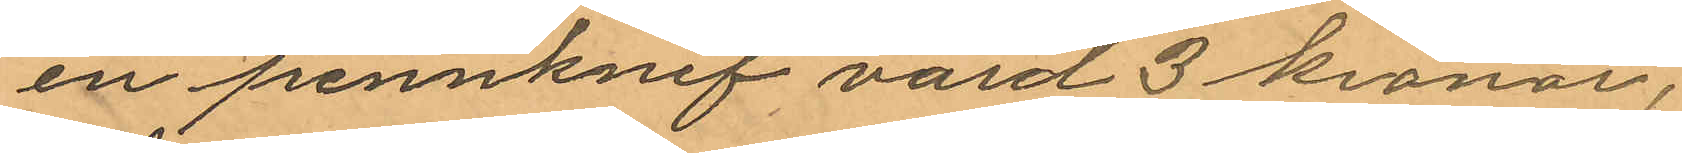en pennknif värd 3 kronor.
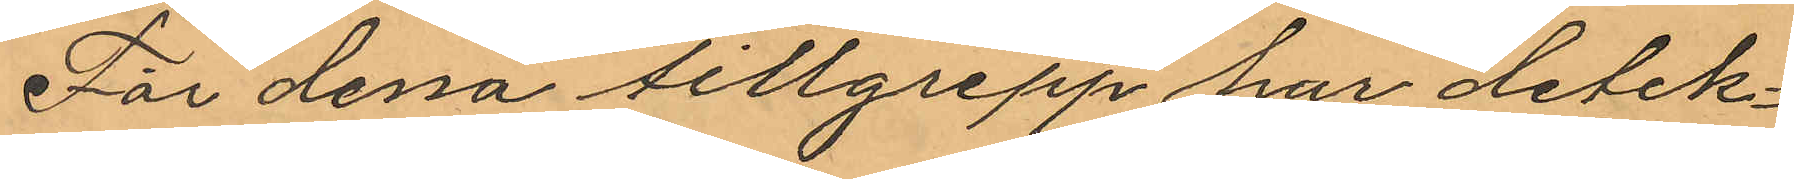För dessa tillgrepp har detek¬
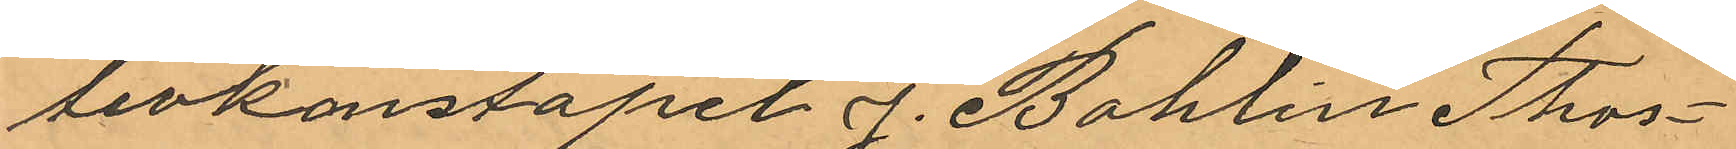tivkonstapel J. Bohlin Thors¬
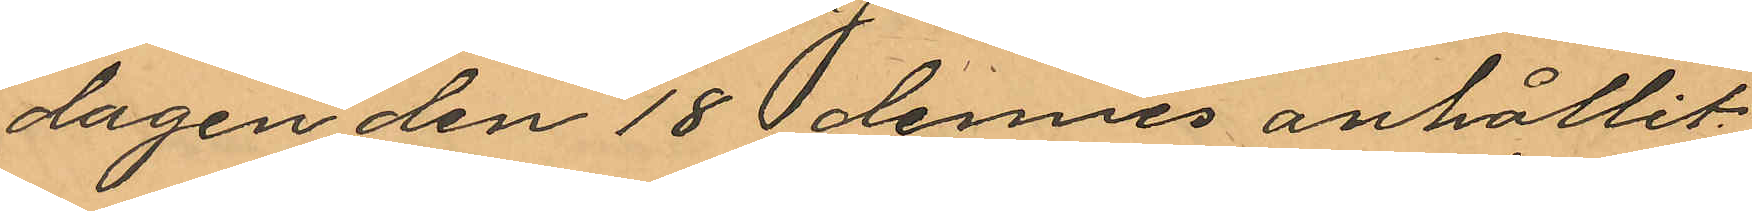dagen den 18 dennes anhållit
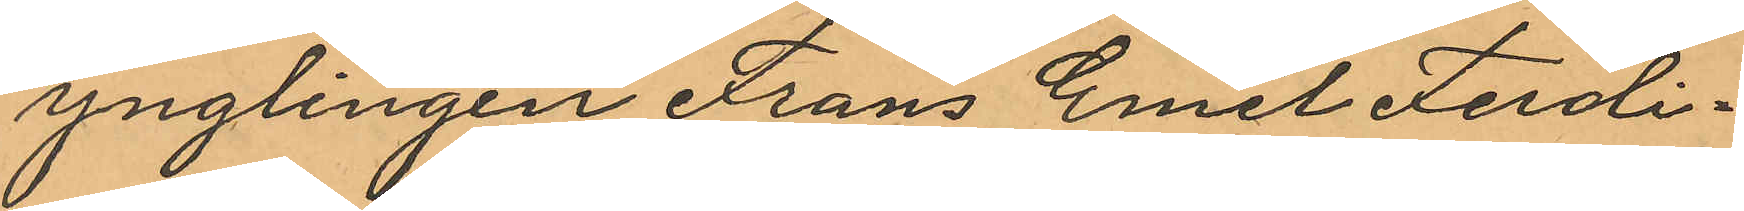ynglingen Frans Emil Ferdi¬
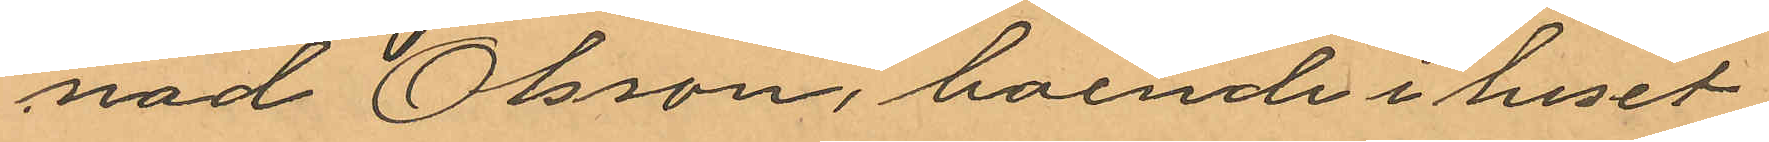nad Olsson, boende i huset
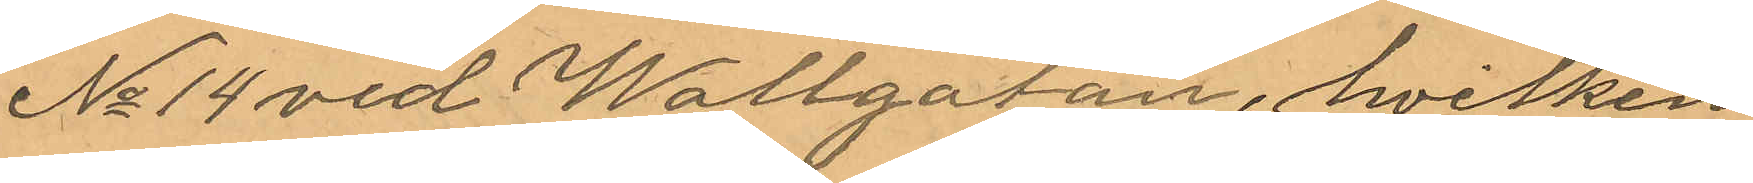No 14 vid Wallgatan, hvilken
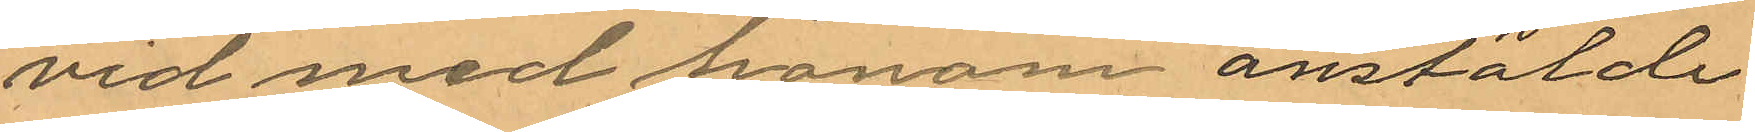vid med honom anstälde
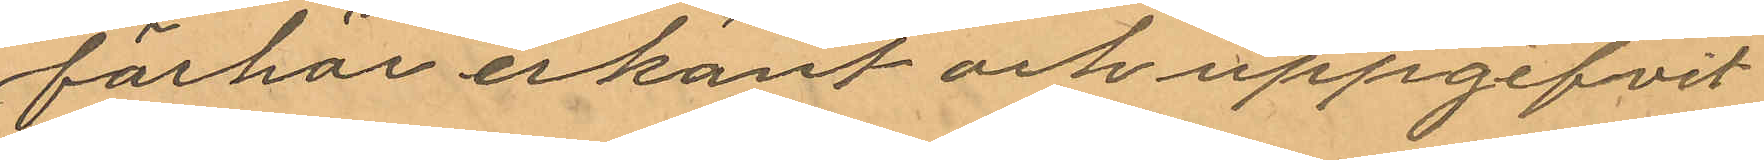förhör erkänt och uppgifvit
